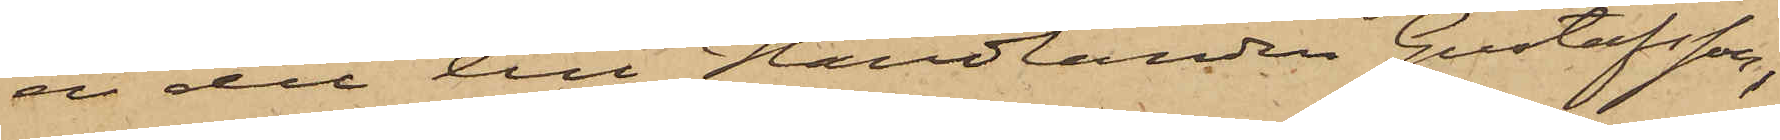en del till Handlanden Gustafsson,
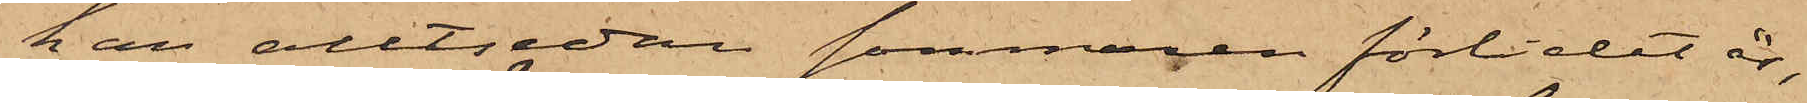han alltsedan sommaren förlidet år,
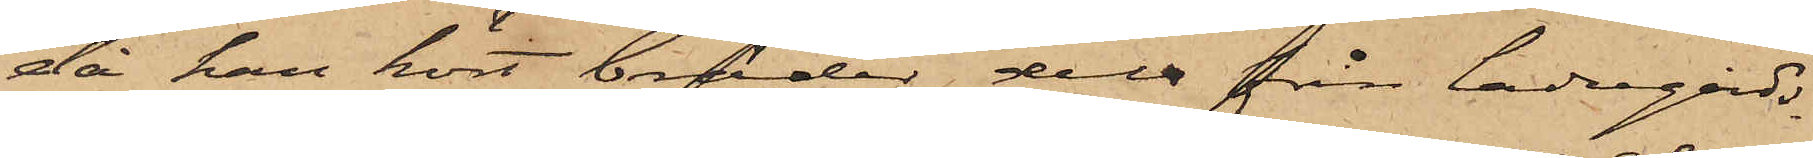då han kört bräder dels från ladugårds¬
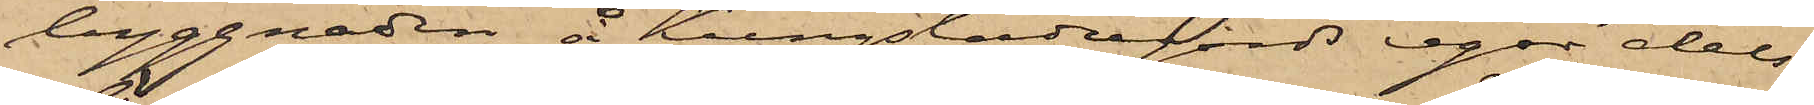byggnaden å Kungsladugårds egor dels
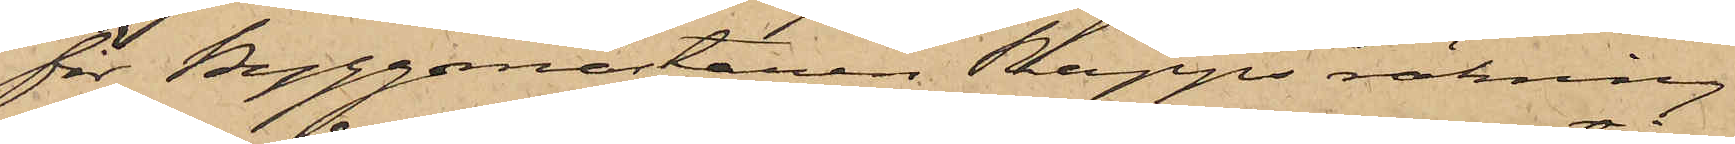för Byggmästaren Rapps räkning
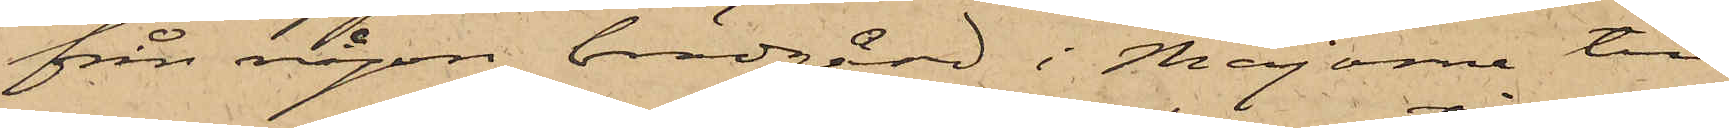från någon brädgård i Majorna till
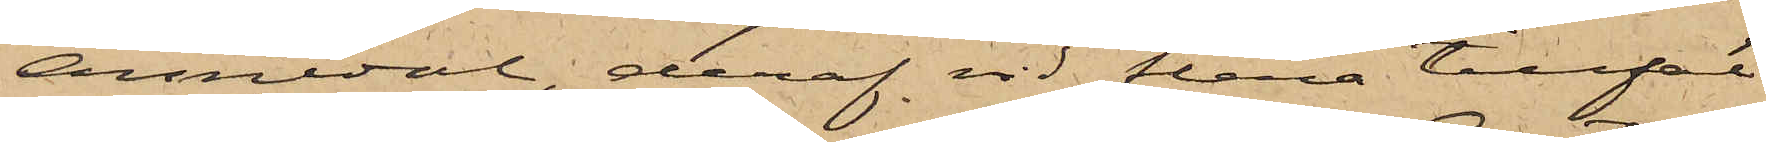Annedal, deraf vid flera tillfäl¬
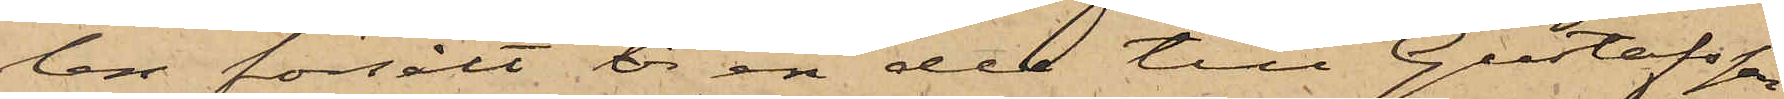len försålt br en del till Gustafsson,
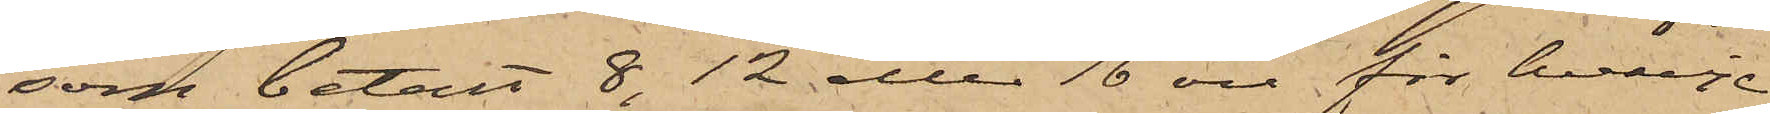som betalt 8, 12 eller 16 öre för hvarje
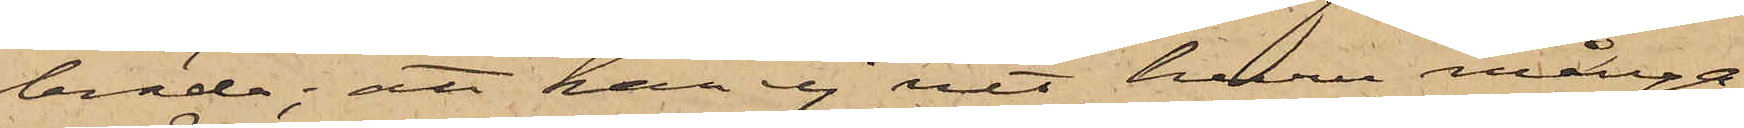bräda; att han ej vet huru många
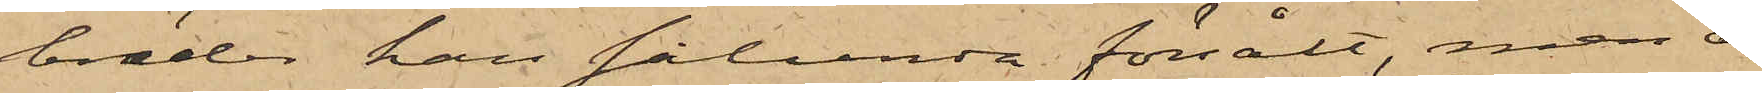bräder han sålunda försålt, men an¬
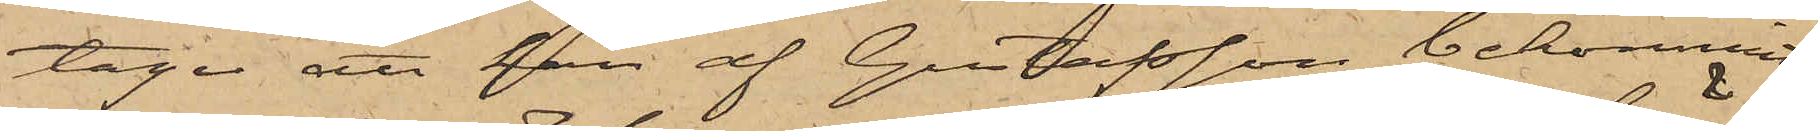tager att han af Gustafsson bekommit
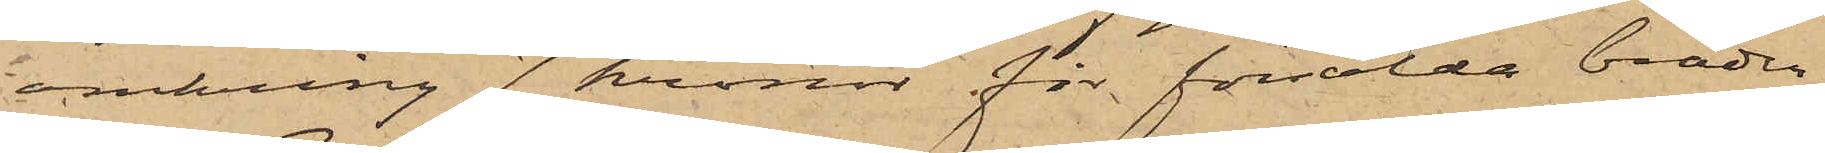omkring 7 kronor för försålda bräder;
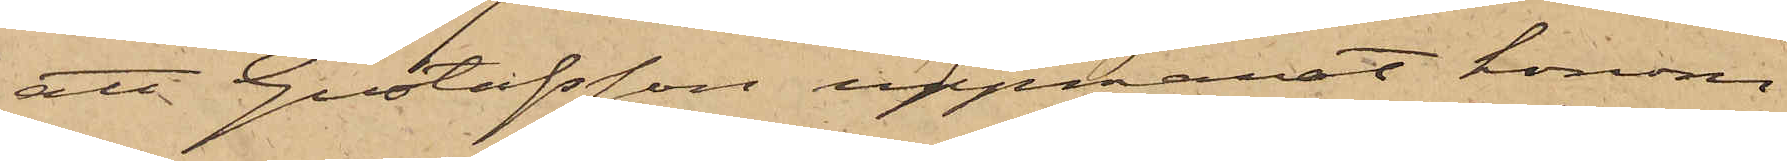att Gustafsson uppmanat honom
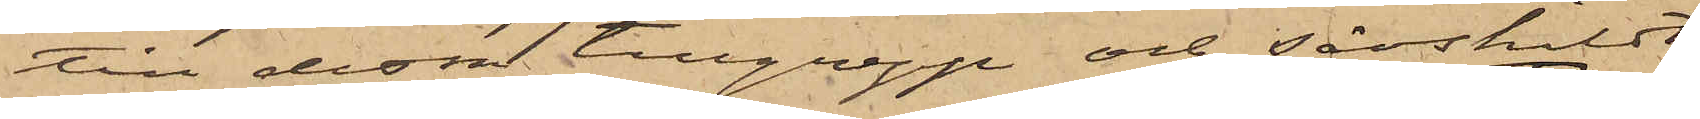till dessa tillgrepp och särskildt
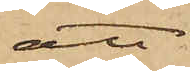att
